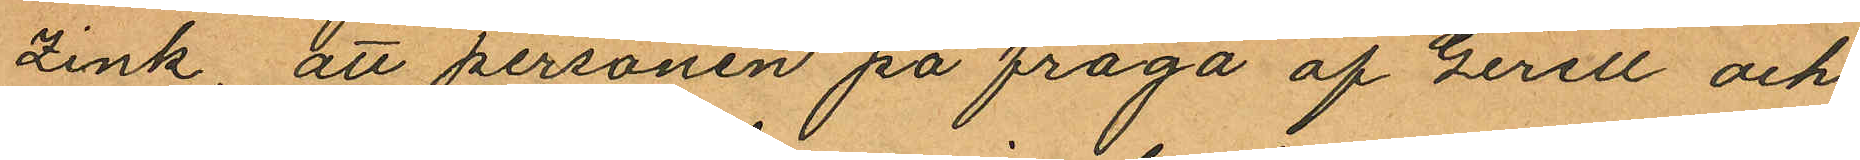zink, att personen på fråga af Gerell och
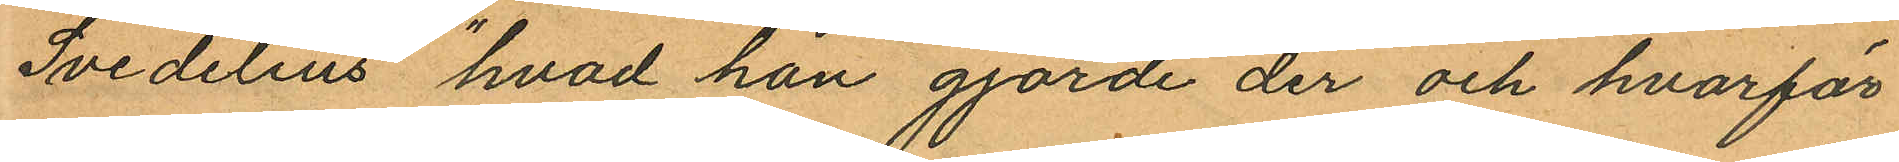Svedelius "hvad han gjorde der och hvarför
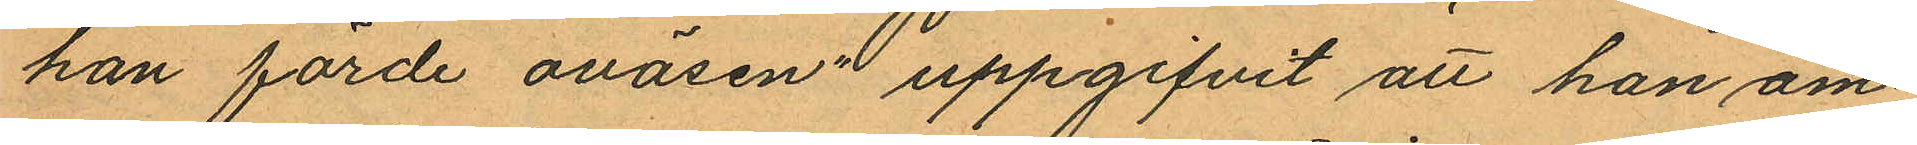han förde oväsen" uppgifvit att han äm¬
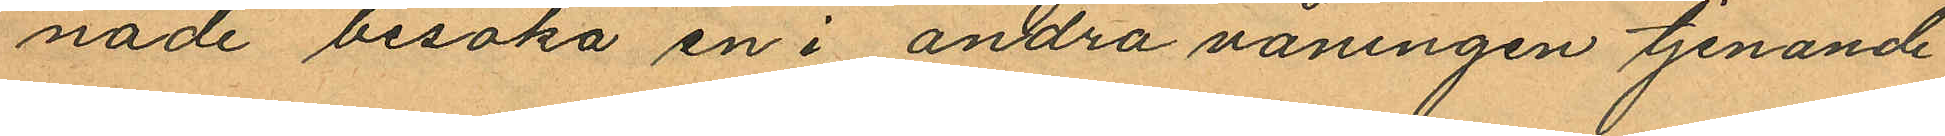nade besöka en i andra våningen tjenande
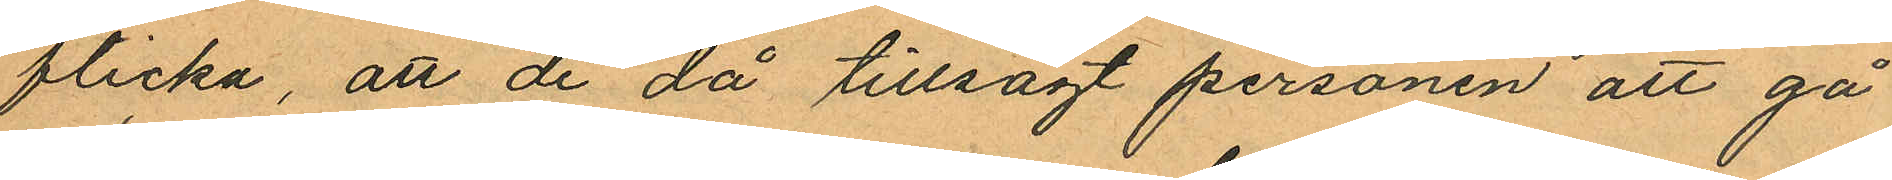flicka, att de då tillsagt personen att gå
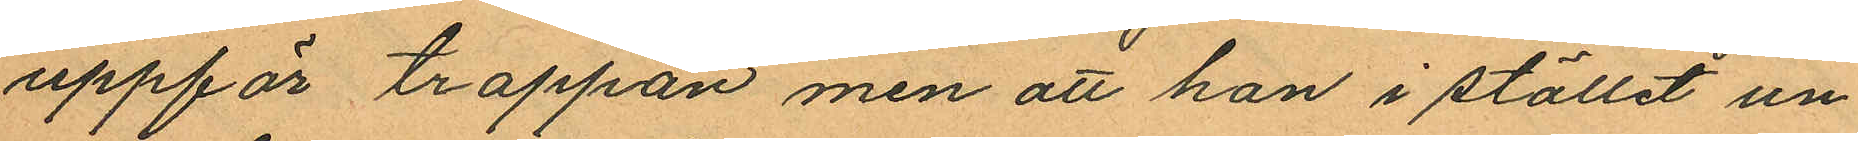uppför trappan men att han i stället un¬
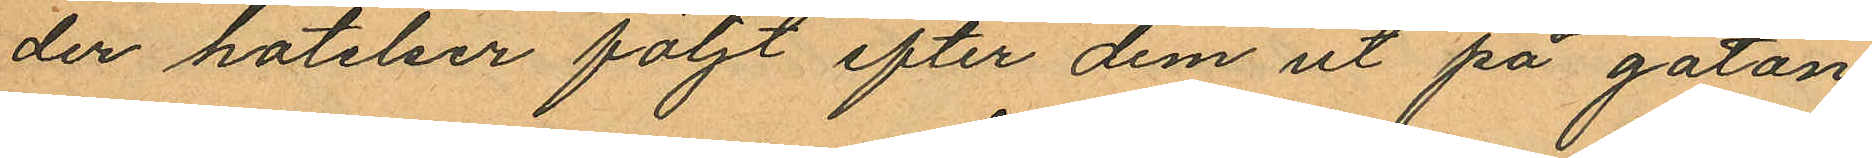der hotelser följt efter dem ut på gatan
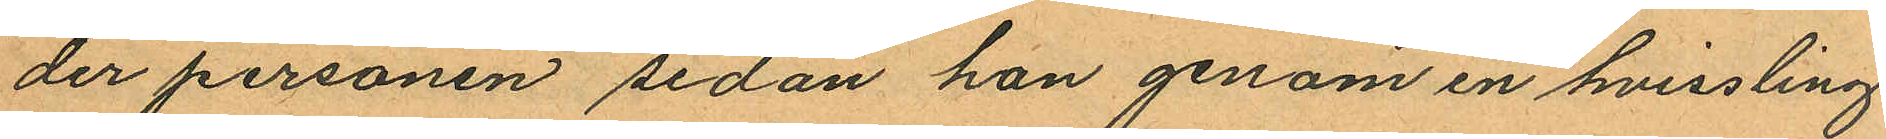der personen sedan han genom en hvissling
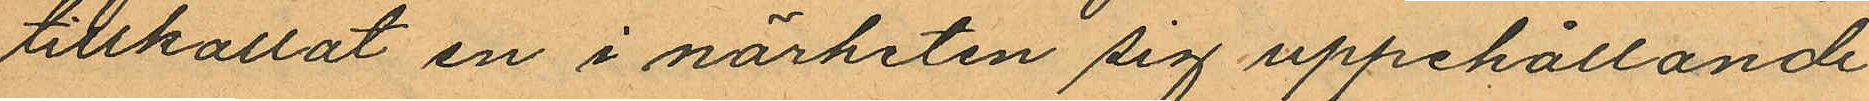tillkallat en i närheten sig uppehållande
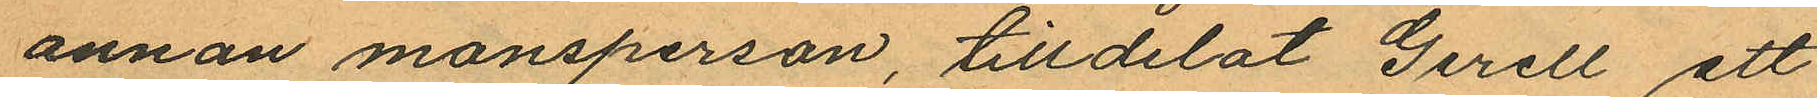annan mansperson, tilldelat Gerell ett
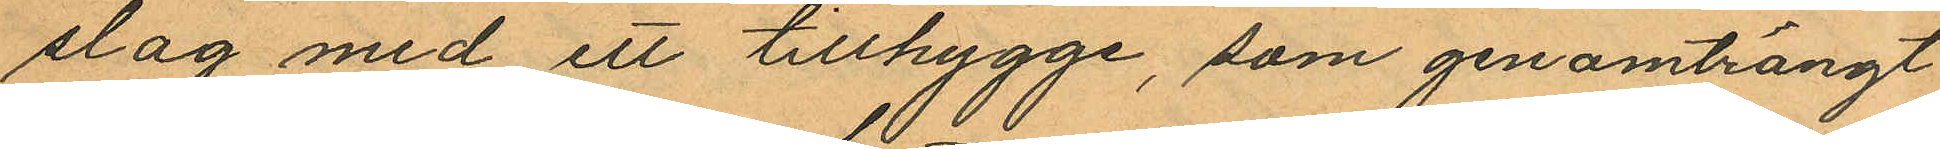slag med ett tillhygge, som genomträngt
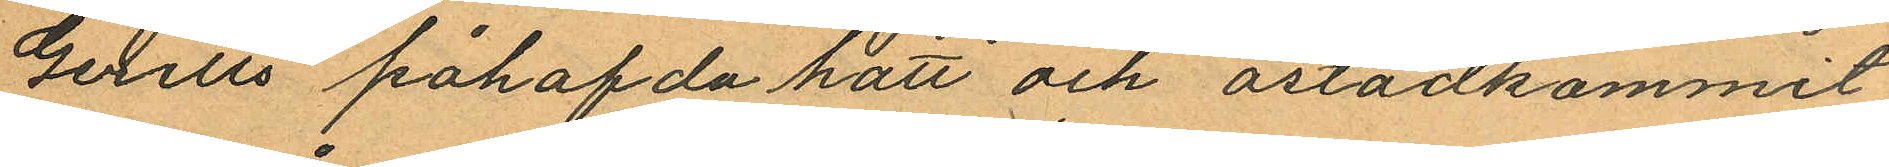Gerells påhafda hatt och åstadkommit
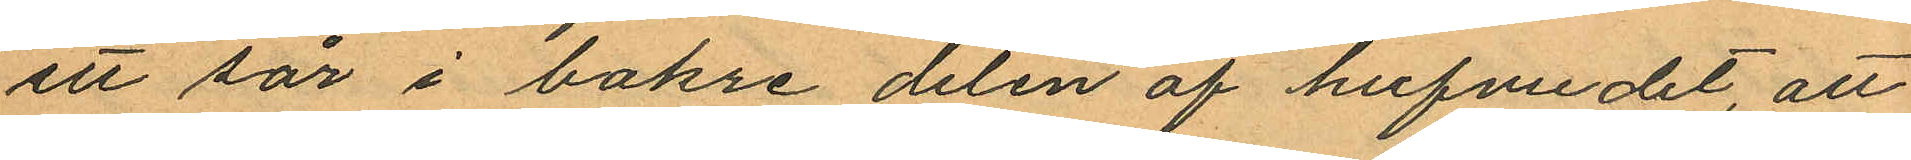ett sår i bakre delen af hufvudet, att
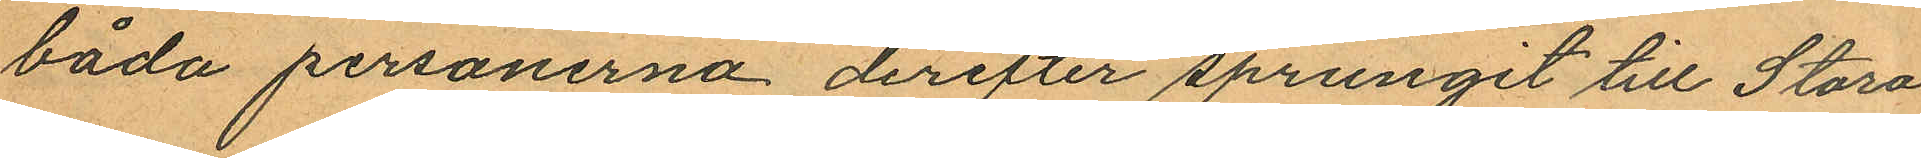båda personerna derefter sprungit till Stora
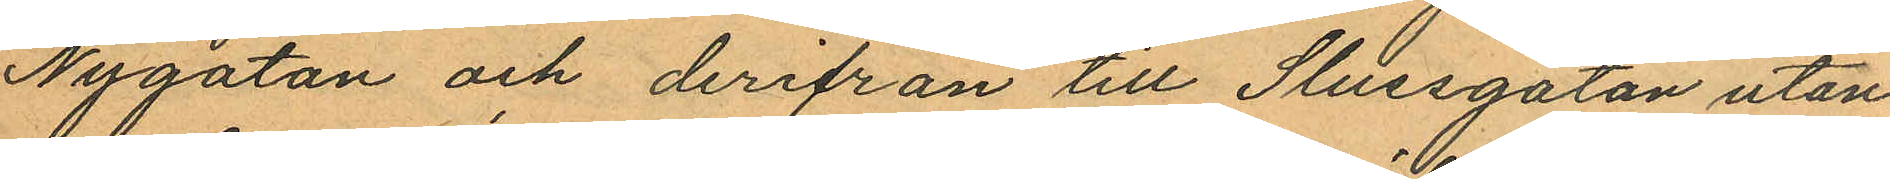Nygatan och derifrån till Slussgatan utan
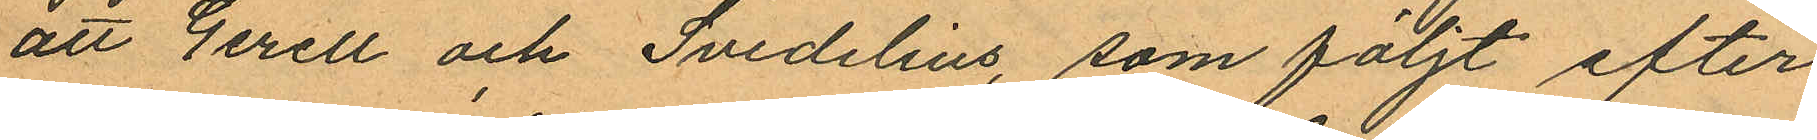att Gerell och Svedelius, som följt efter
